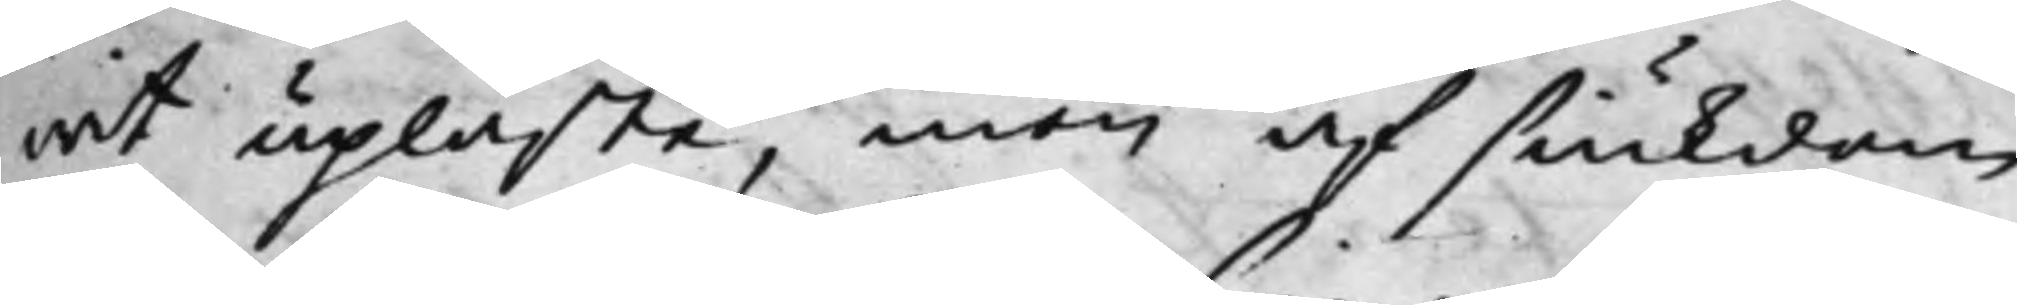wit upläste, men af siukdom
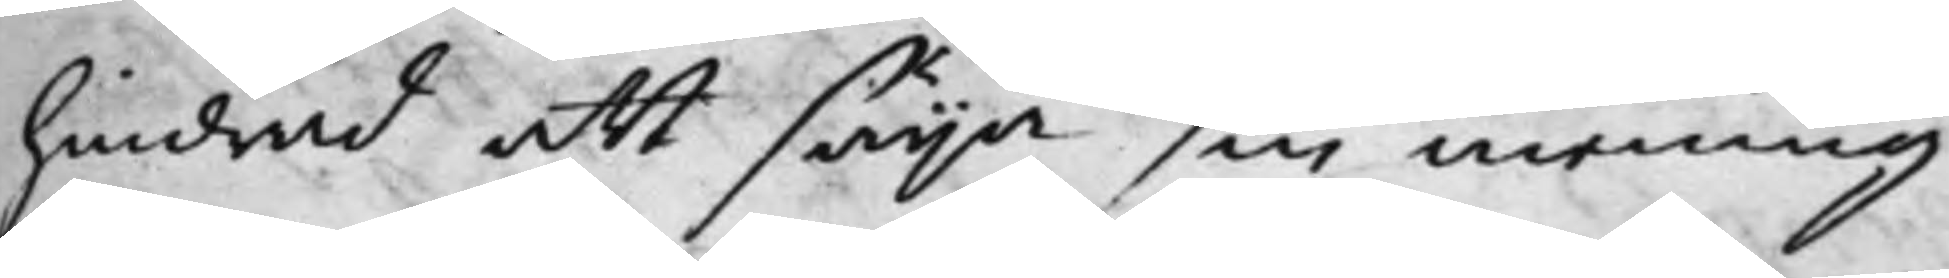hindrad att säija sin mening
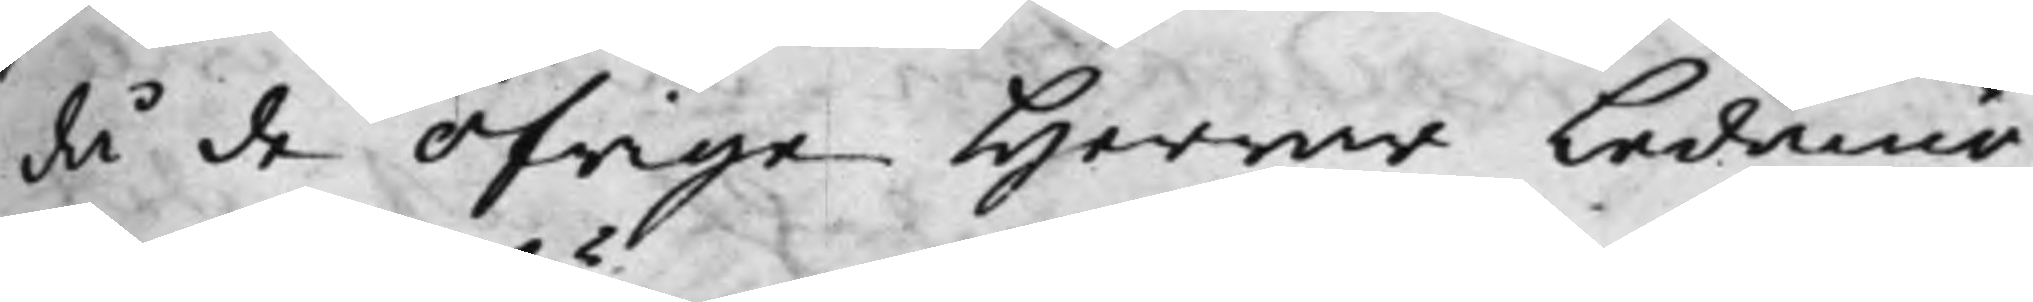då de öfrige Herrar Ledamö¬
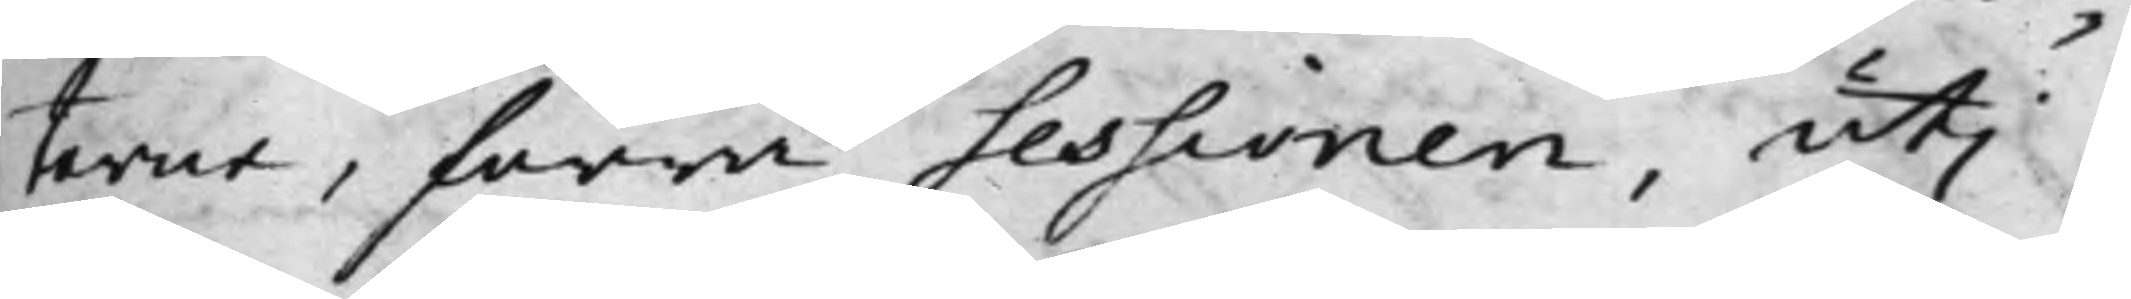terna, förra Sessionen, uti
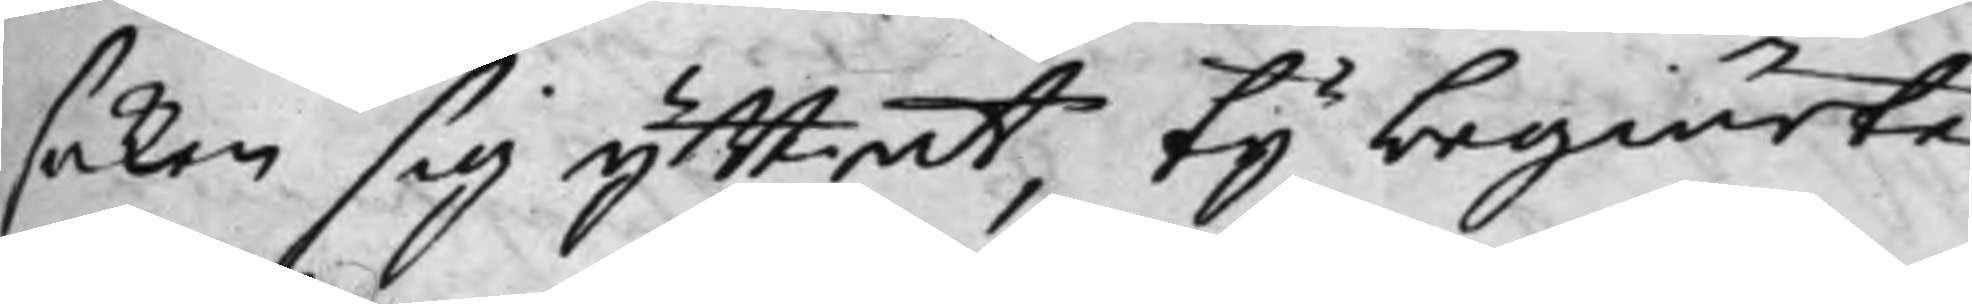saken sig yttrat; Ty begiärte
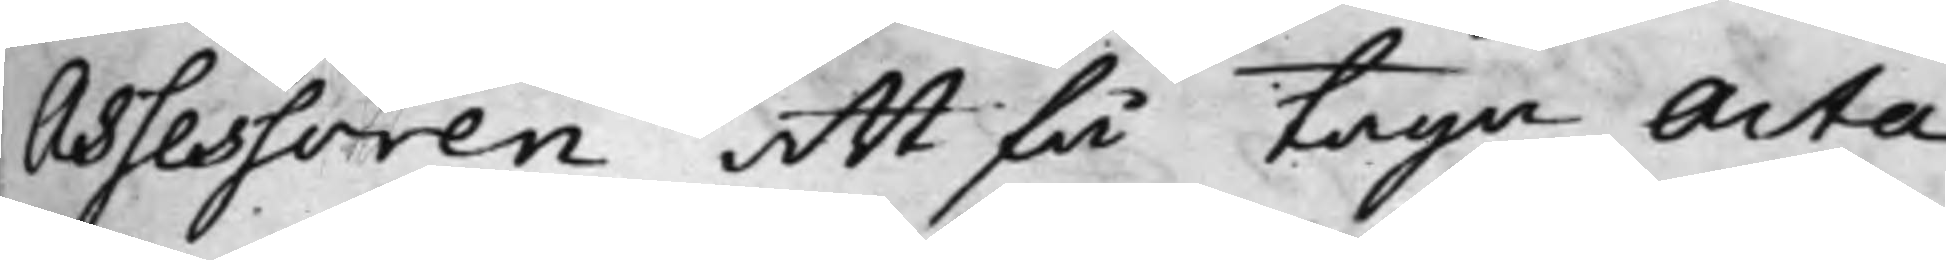Assessoren att få taga Acta
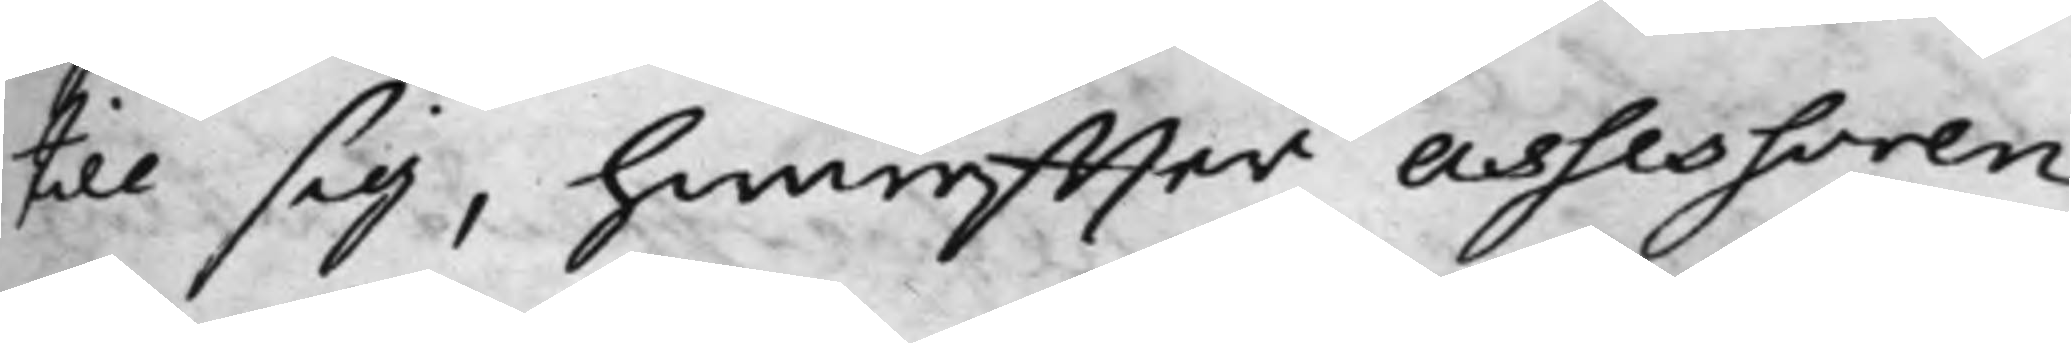till sig, hwareffter Assessoren,
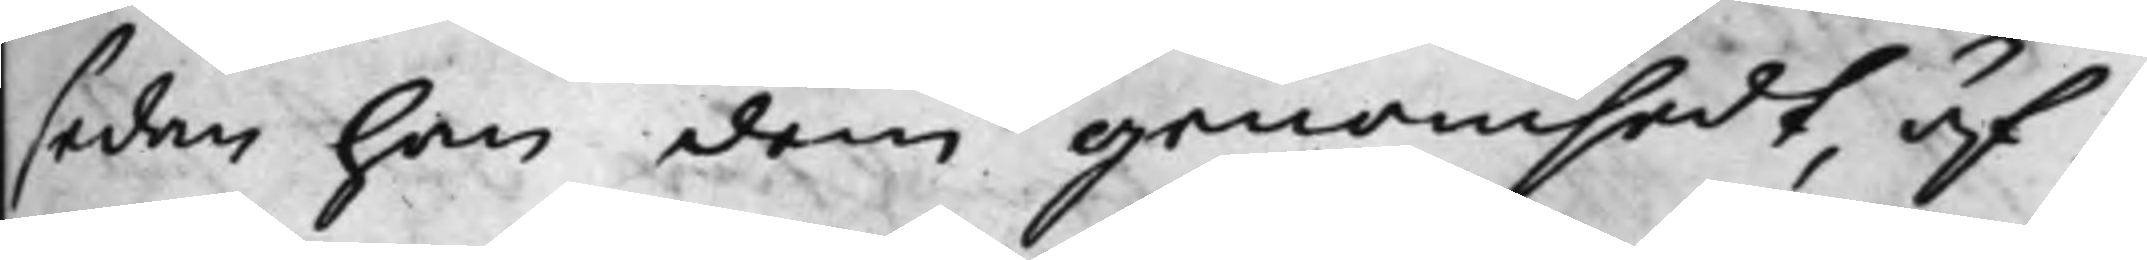sedan han dem genomsedt, äf¬
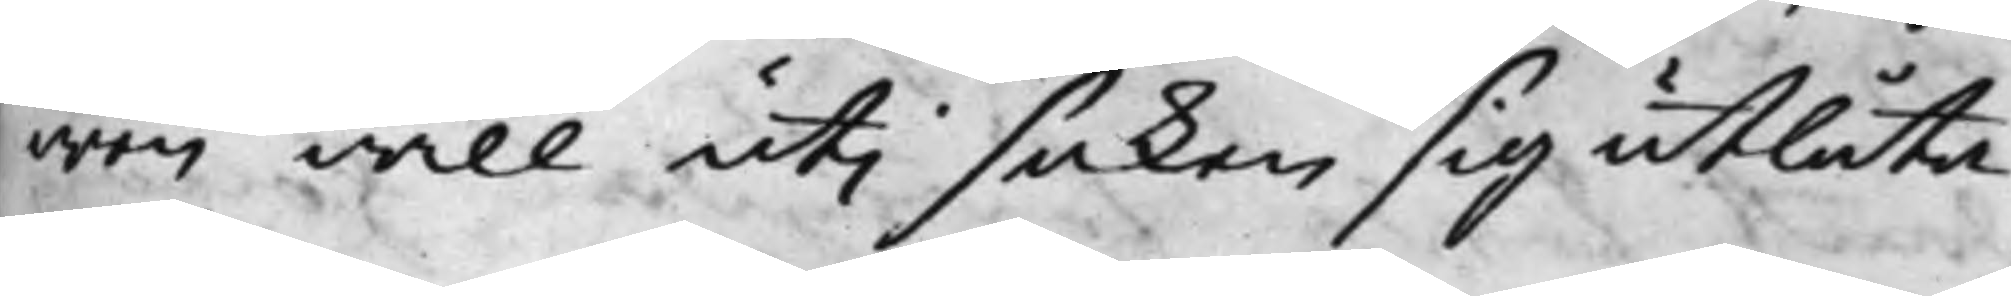wen will uti saken sig utlåta.
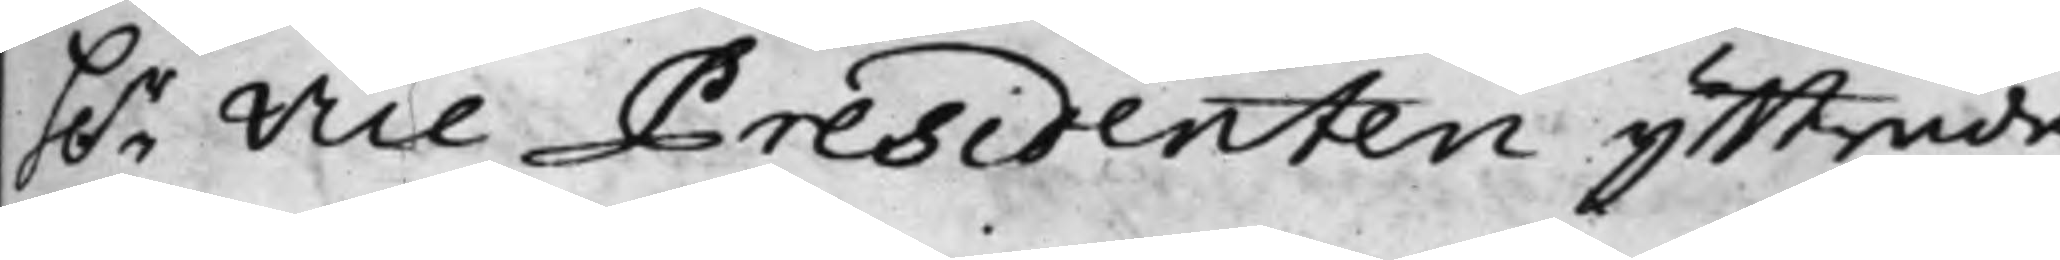h.r Vice Presidenten yttrade
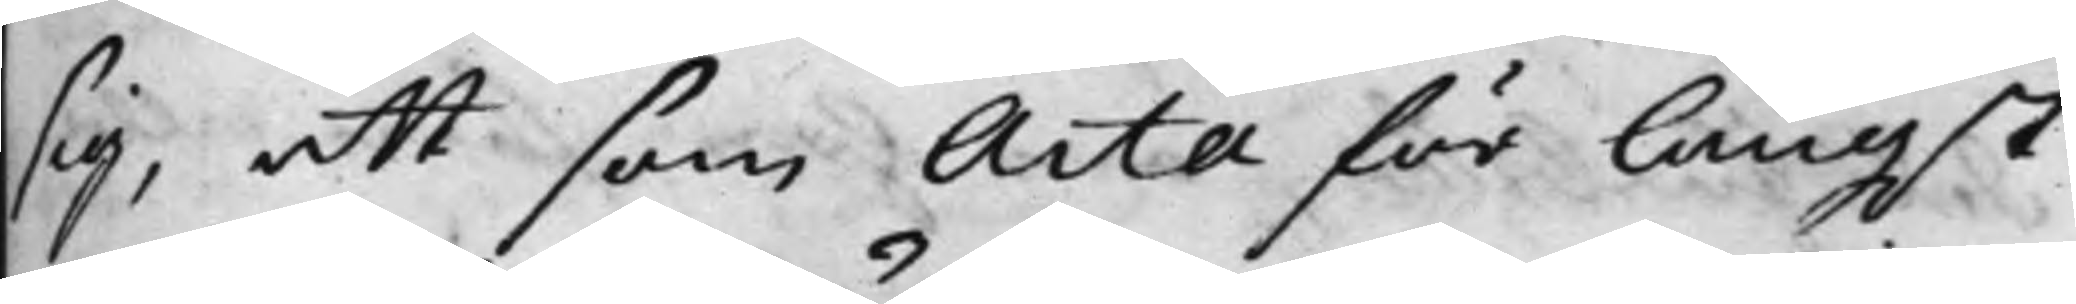sig, att som Acta för längst
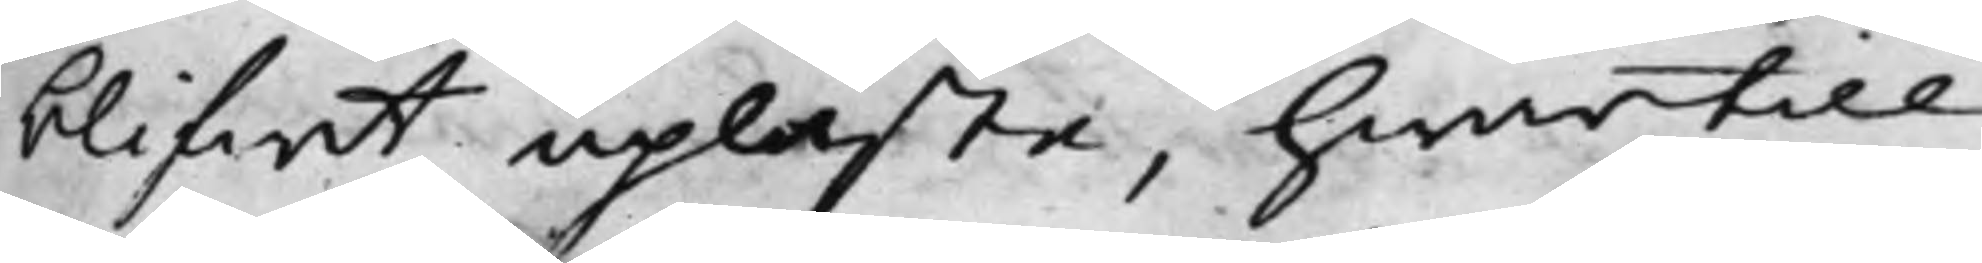blifwit upläste, hwartill
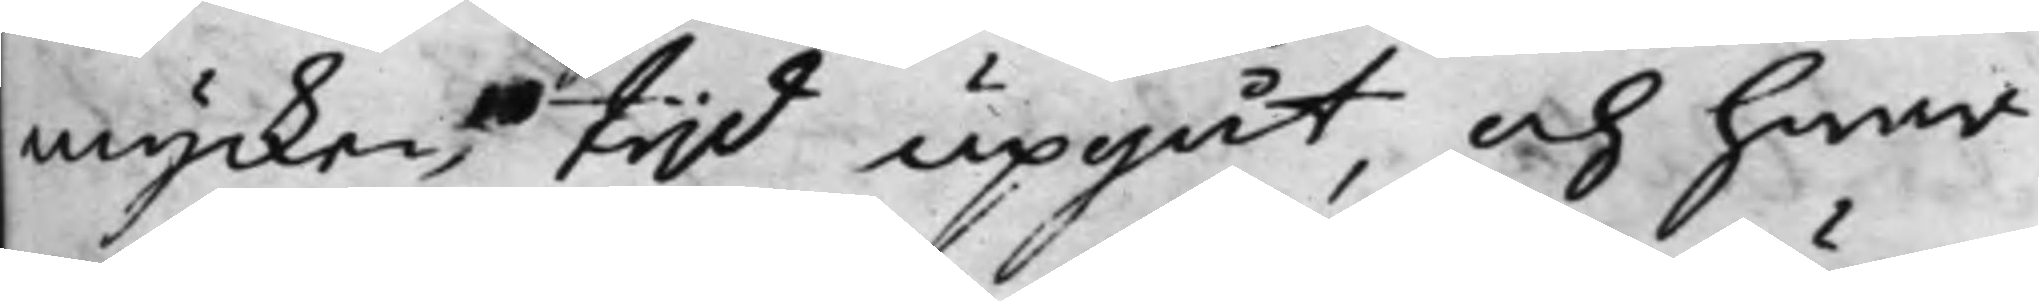mycken tijd upgåt, och hwar
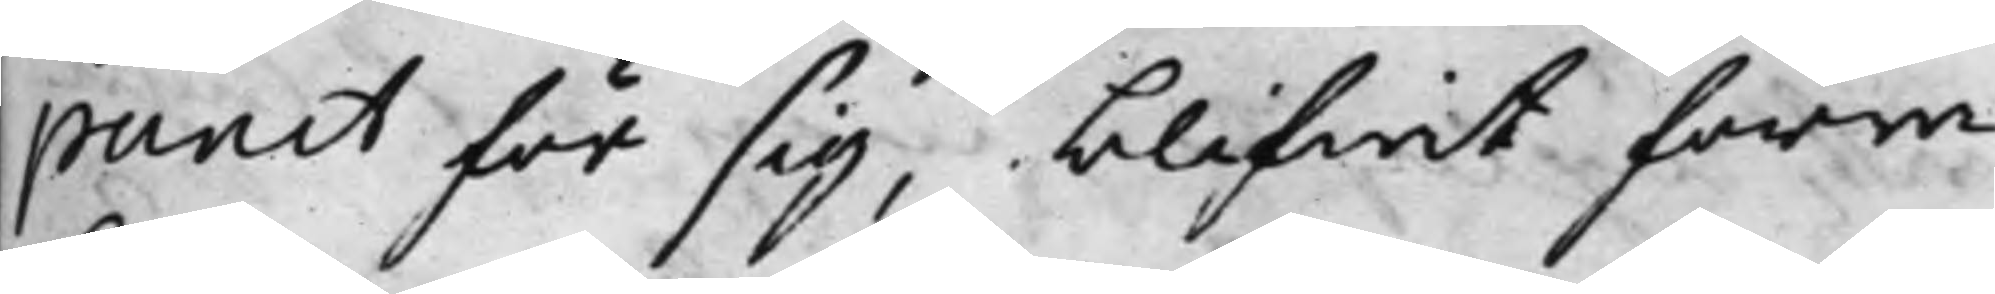punct för sig, blifwit förra
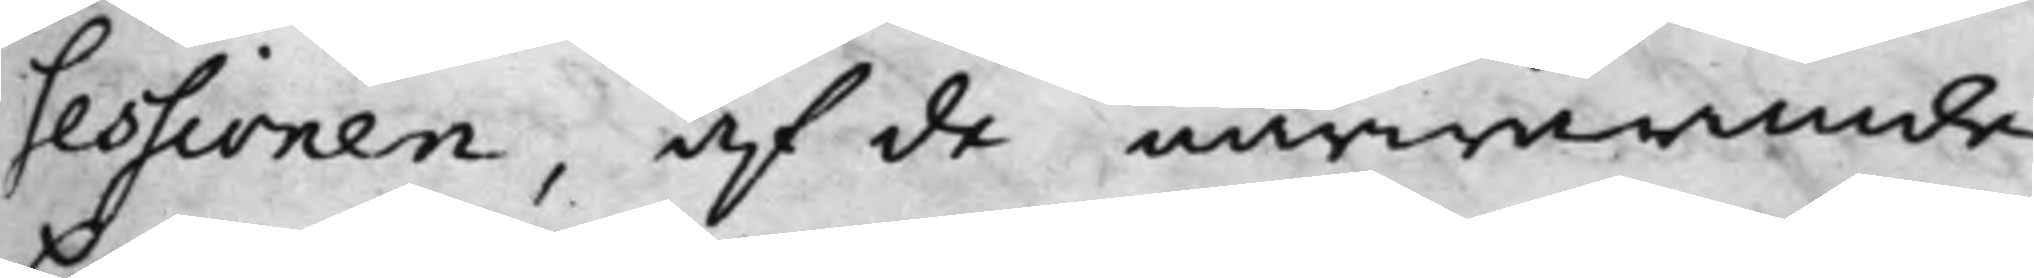sessionen, af de närwarande
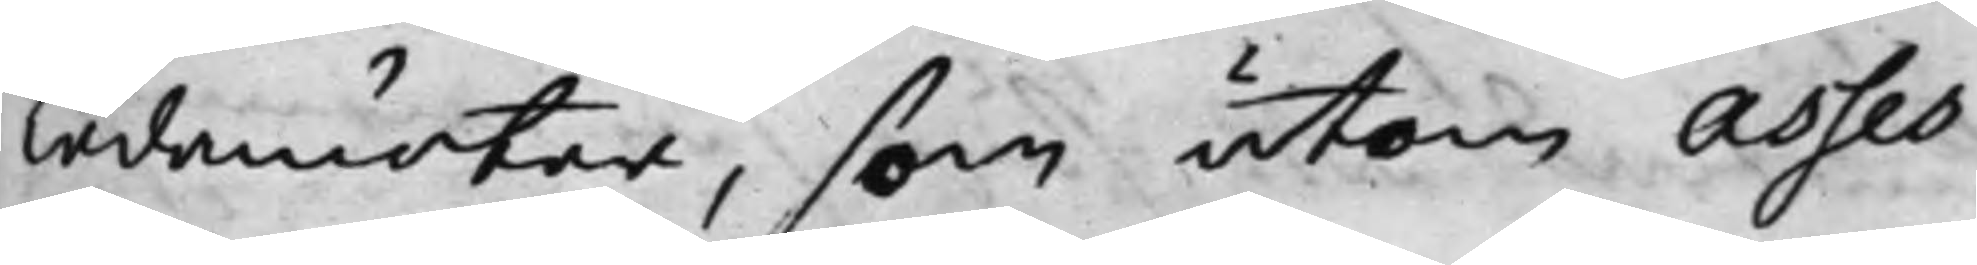Ledamöter, som utom Asses¬
